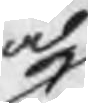och
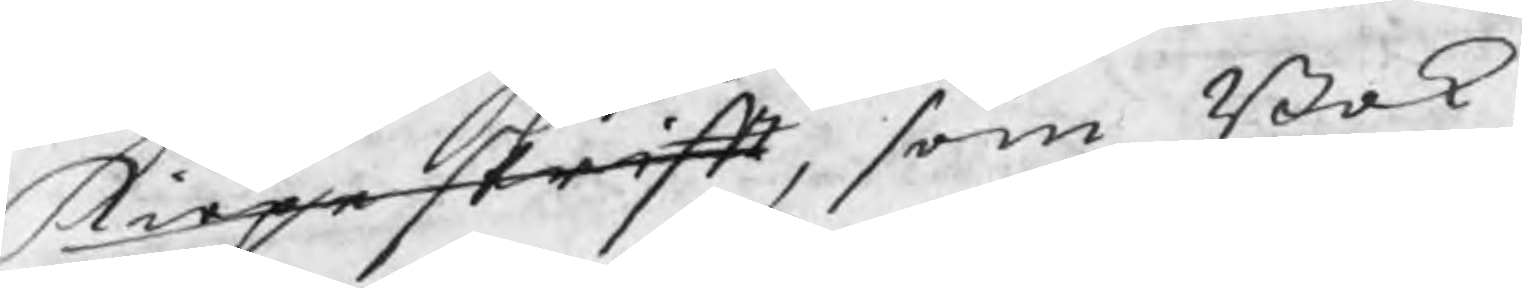kiöpeskrift, som Bok¬
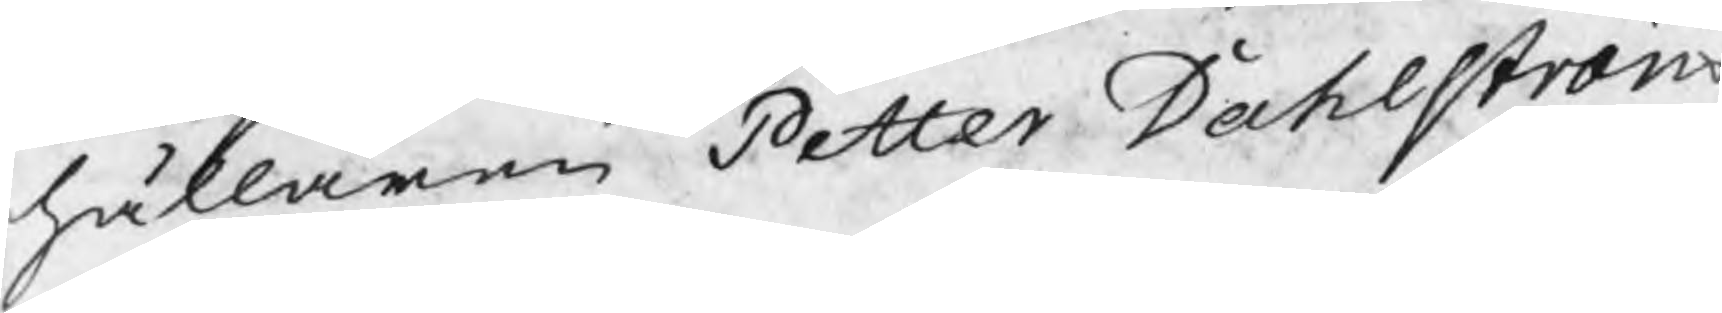hållaren Petter Dahlström
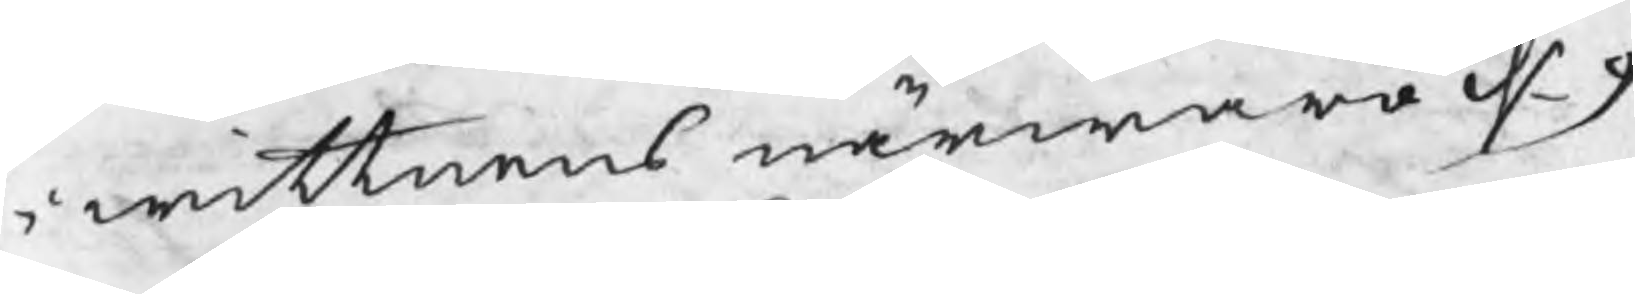i wittnenes närwaro d. 9
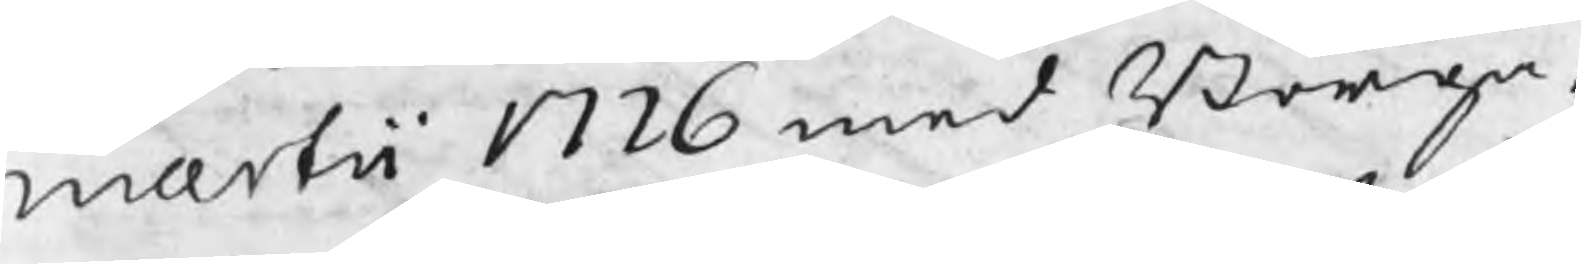martii 1726 med Borga¬
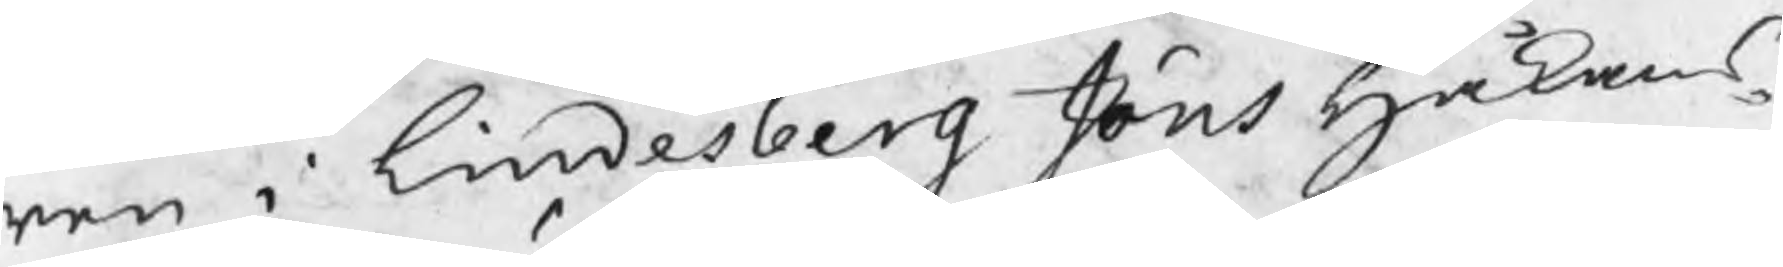ren i Lindesberg Jöns Håkans¬
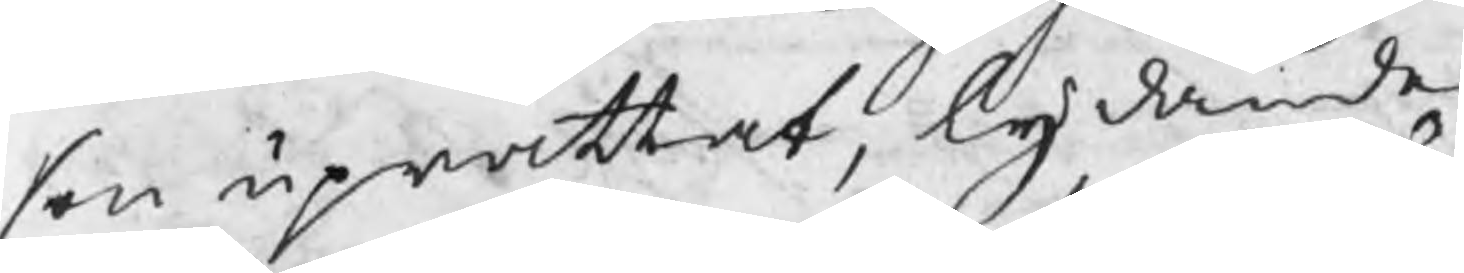son uprättat, lydande
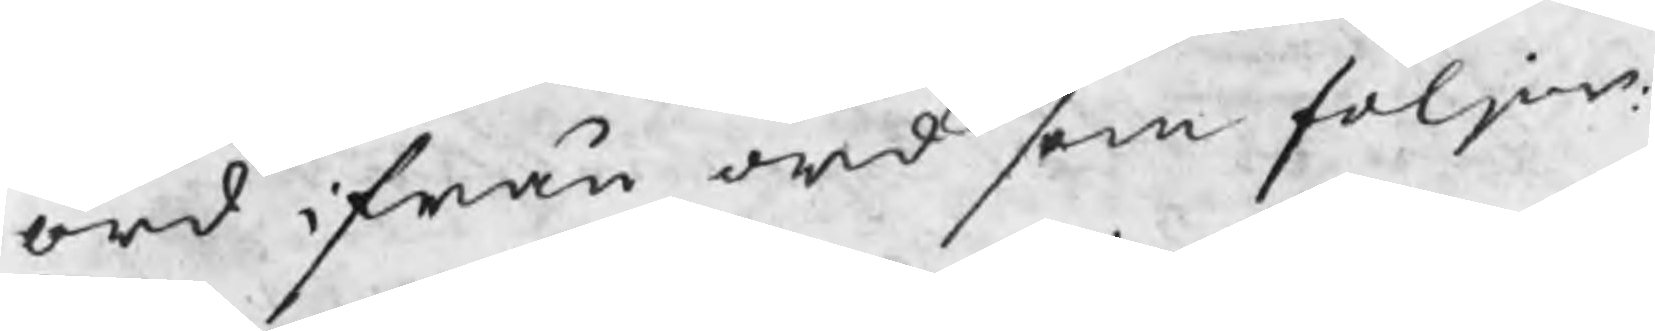ord ifrån ord som följer:
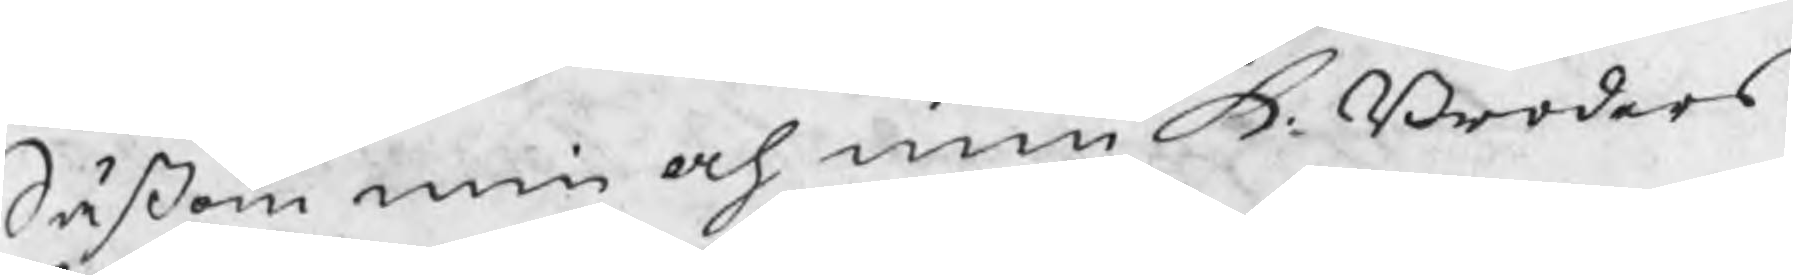Såsom min och min K. Broders
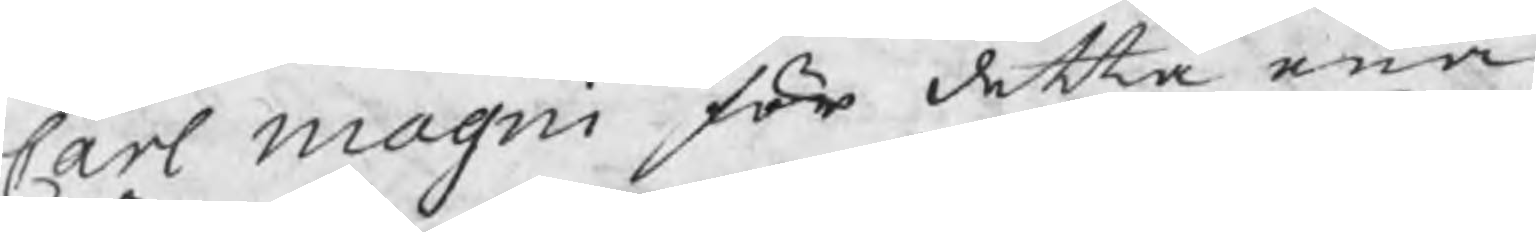Carl Magni för detta ena
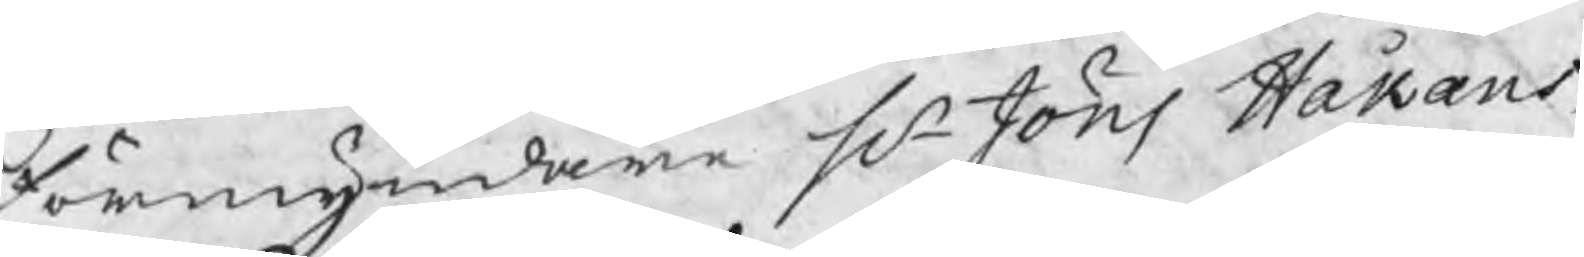förmyndare Hr Jöns Håkans¬
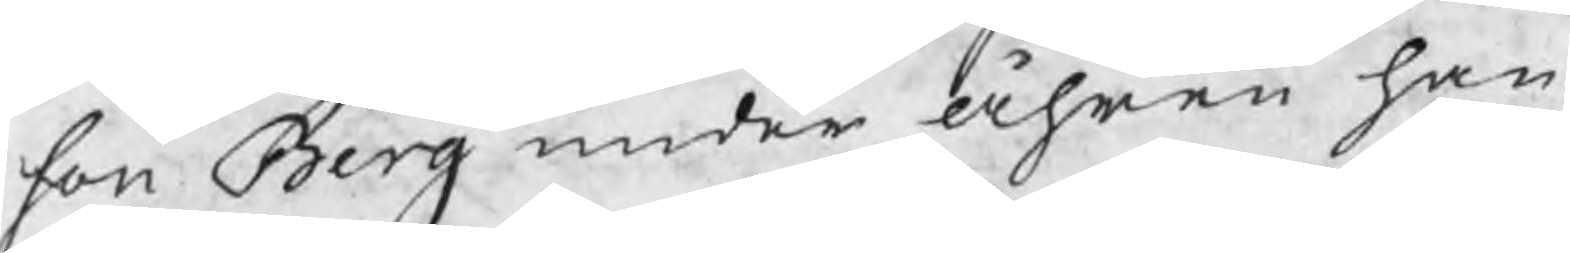son Berg under åhren han
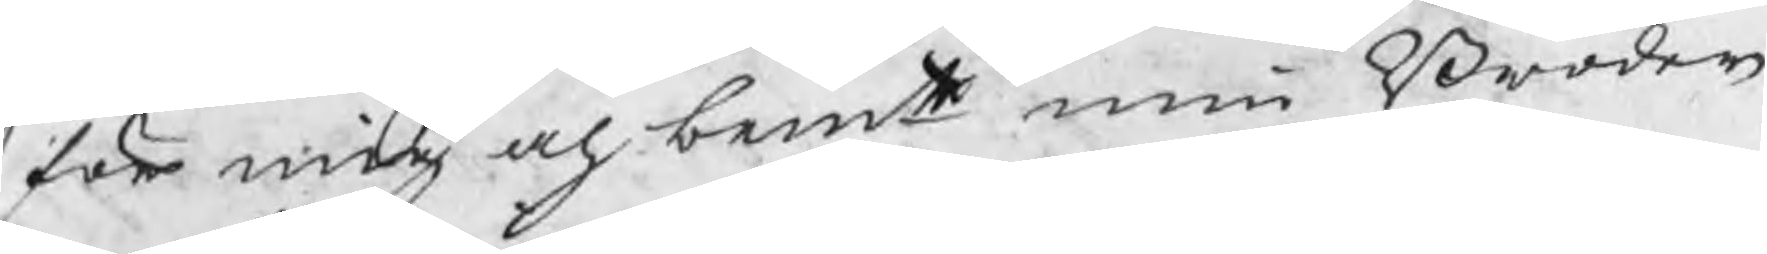för mig och bemte min Broder 
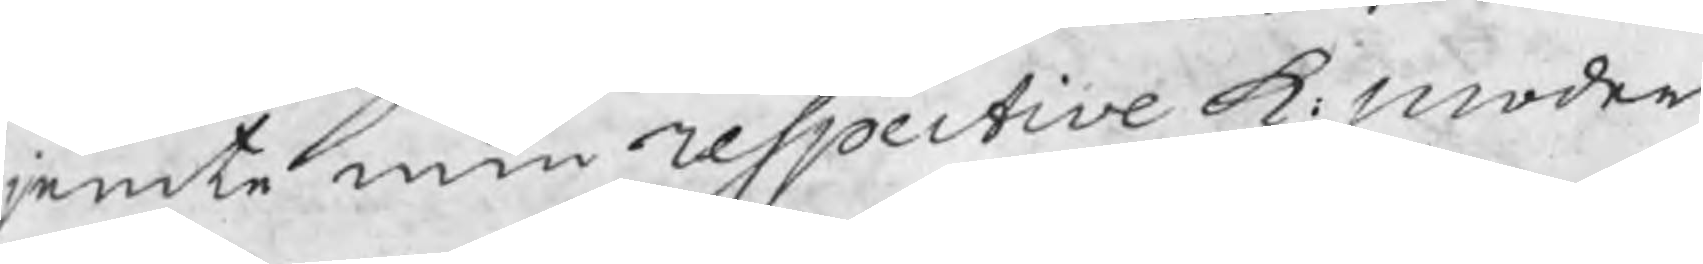jemte min respective K: moder
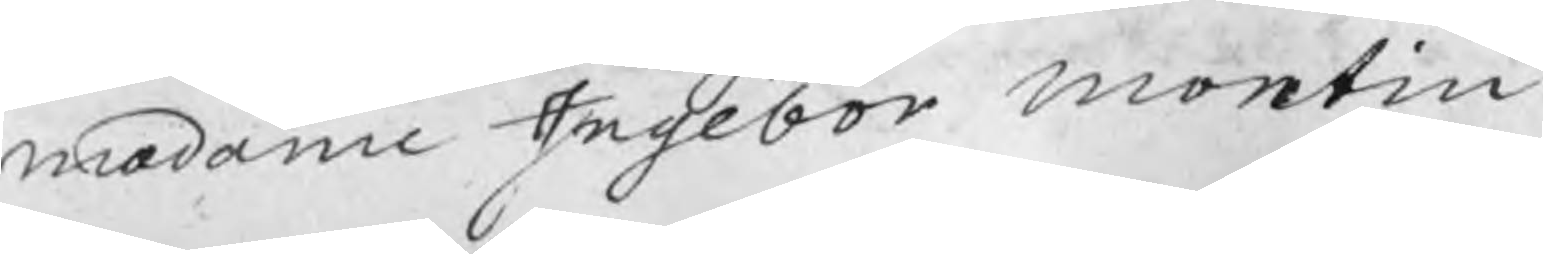madame Ingebor Montin
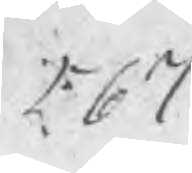567
